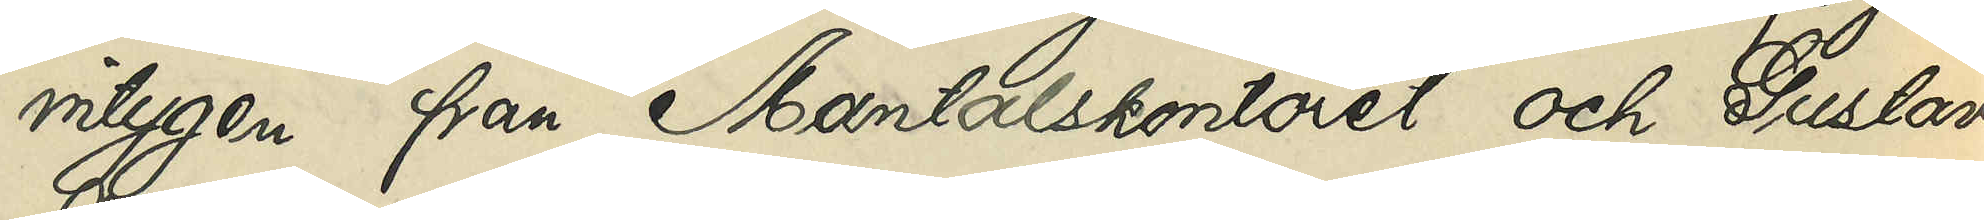intygen från Mantalskontoret och Gustavi
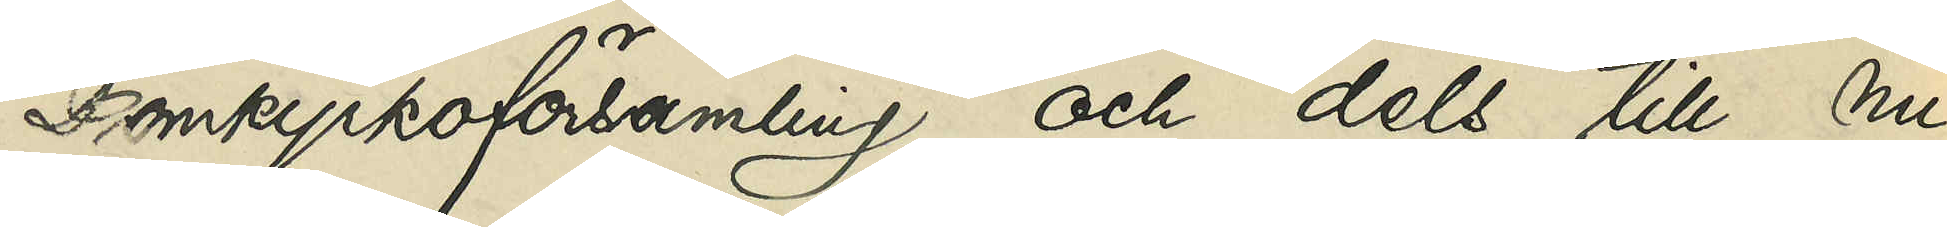Domkyrkoförsamling och dels till nu
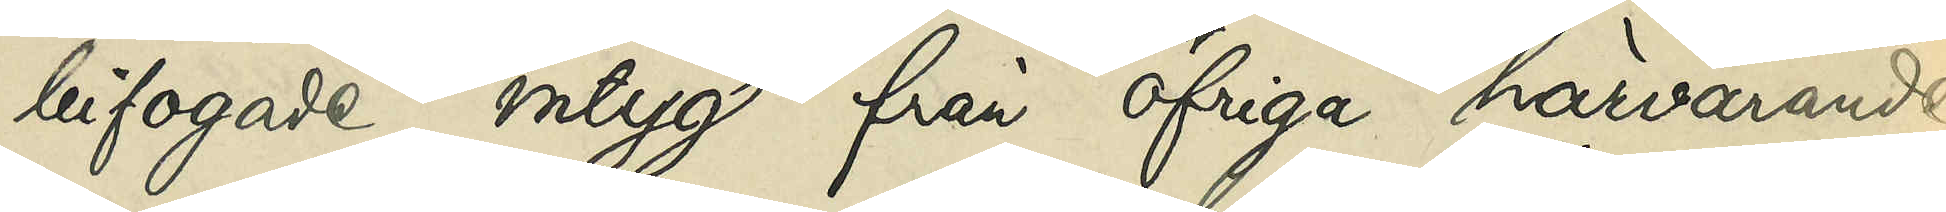bifogade intyg från öfriga härvarande
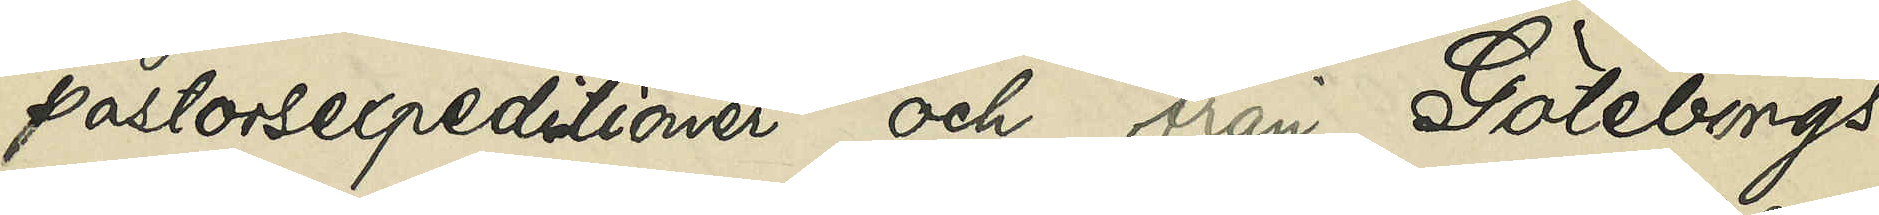pastorsexpeditioner och från Göteborgs
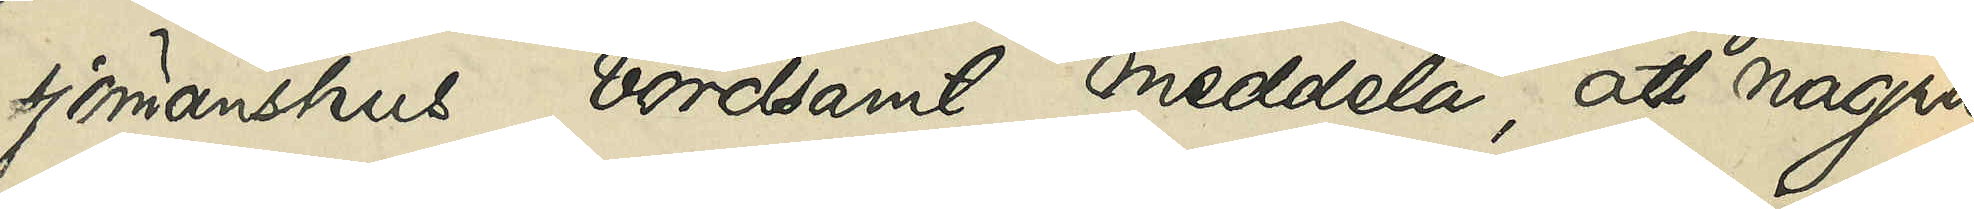sjömanshus vördsamt meddela, att några
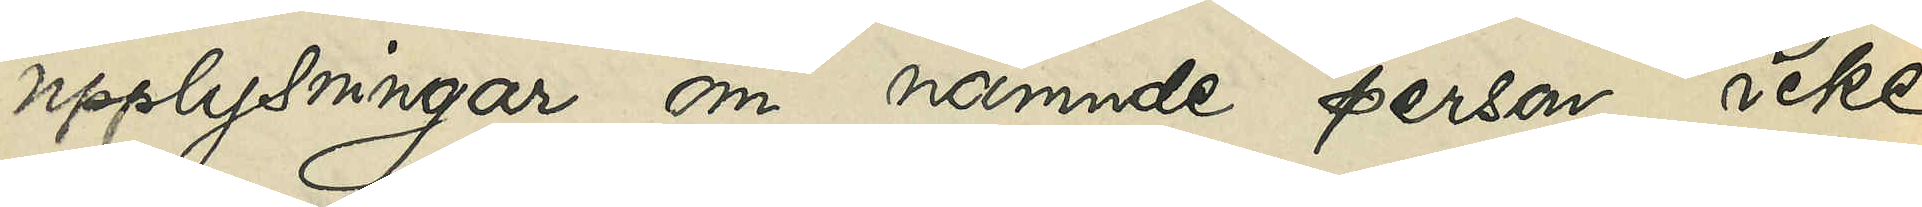upplysningar om nämnde person icke
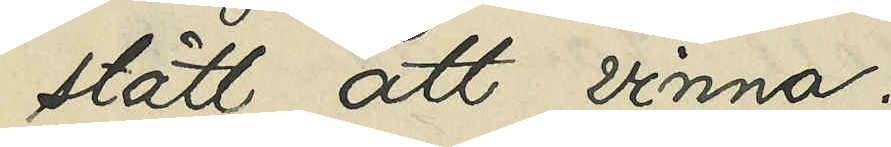stått att vinna.
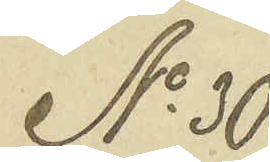No 30
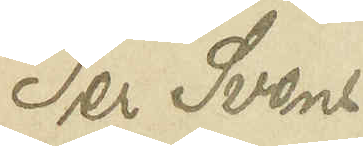Per Svens¬
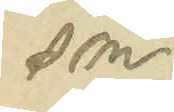son
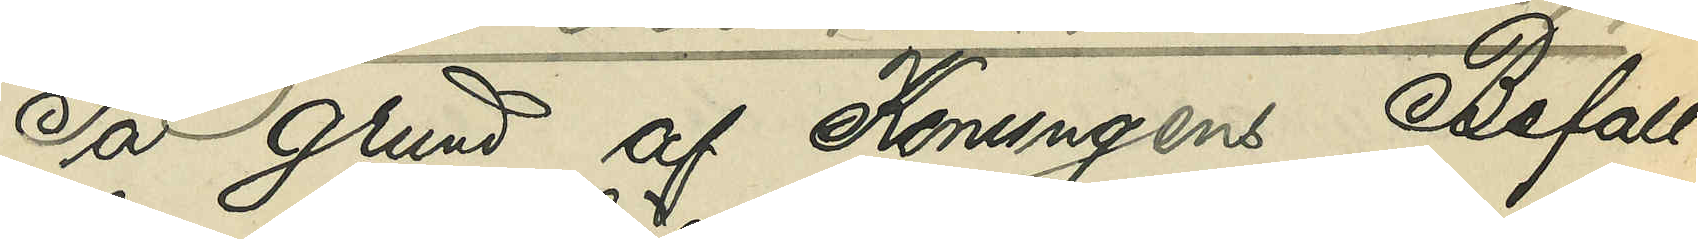På grund af Konungens Befall¬
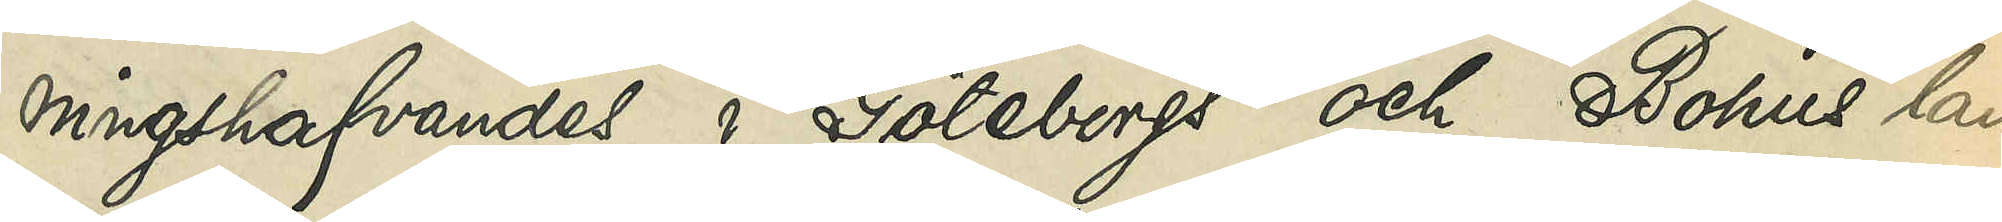ningshafvandes i Göteborgs och Bohus län
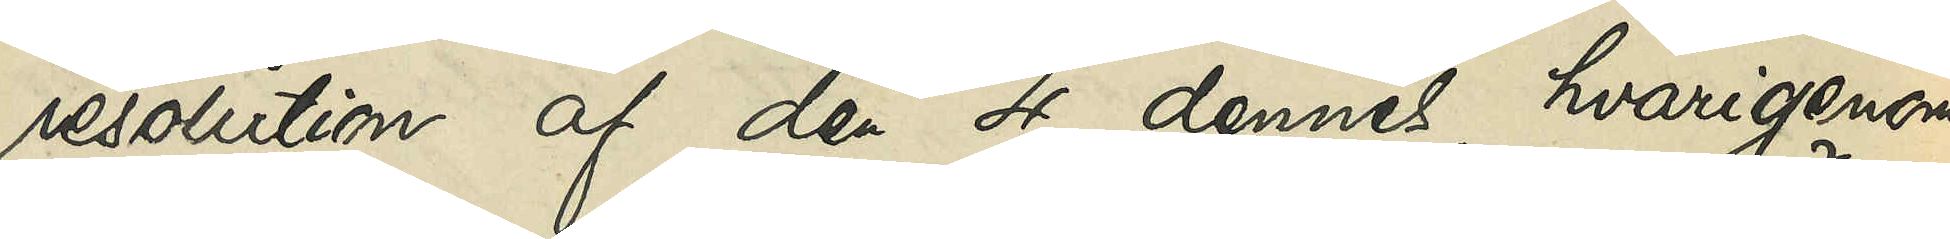resolution af den 4 dennes, hvarigenom
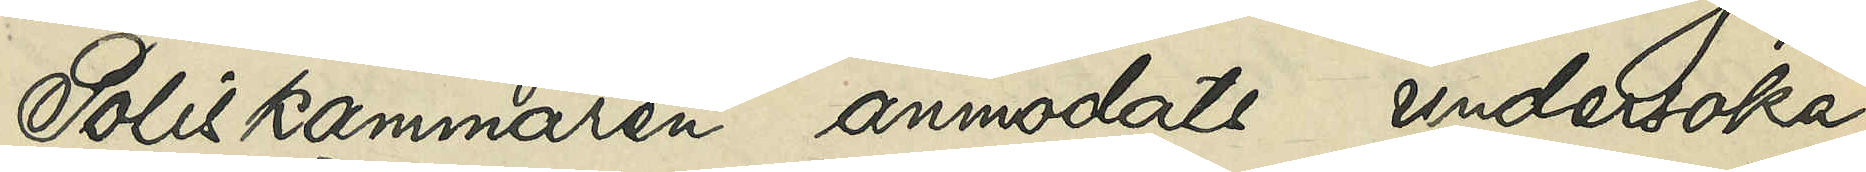Poliskammaren anmodats undersöka,
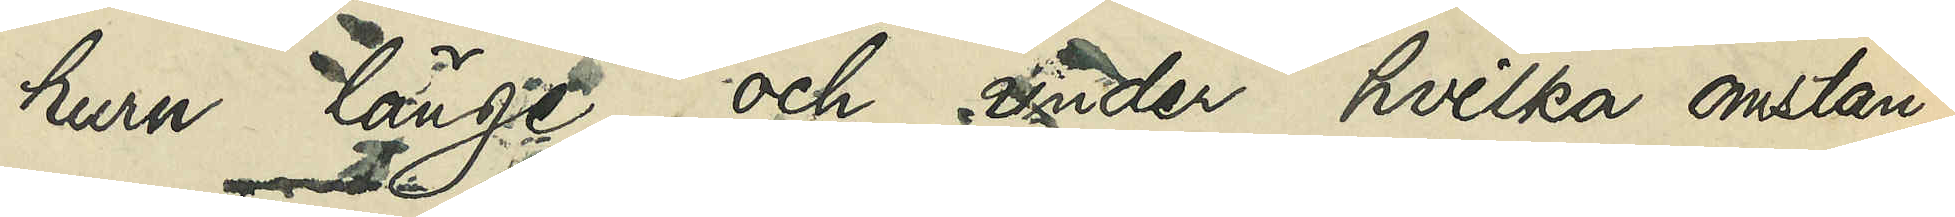huru länge och under hvilka omstän¬
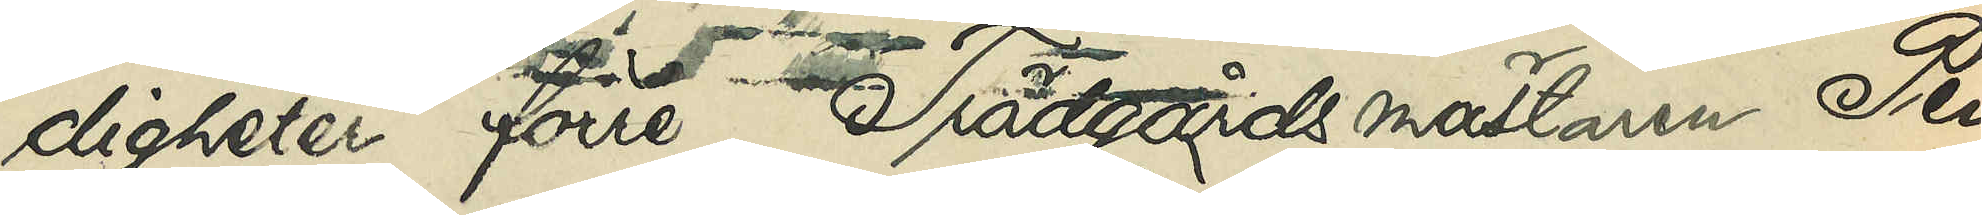digheter förre Trädgårdsmästaren Per
